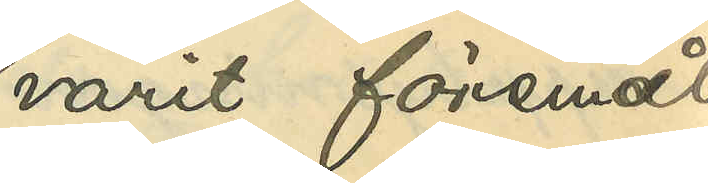varit föremål
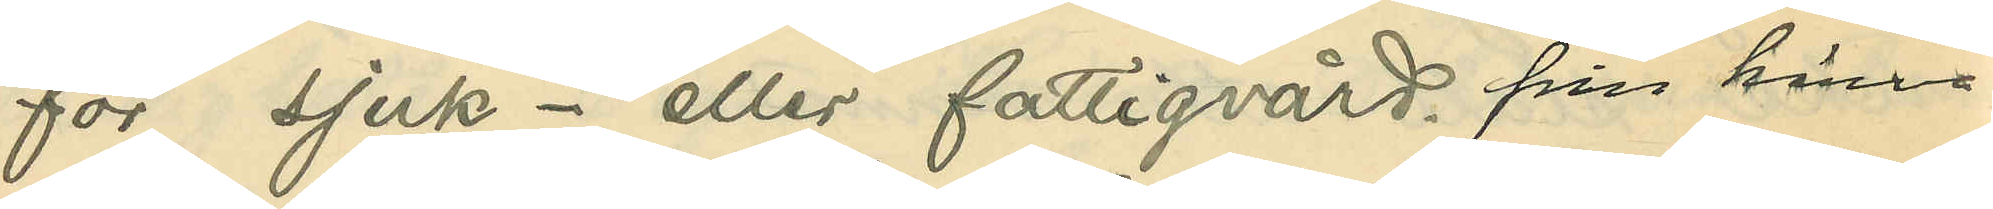för sjuk- eller fattigvård, från härva¬
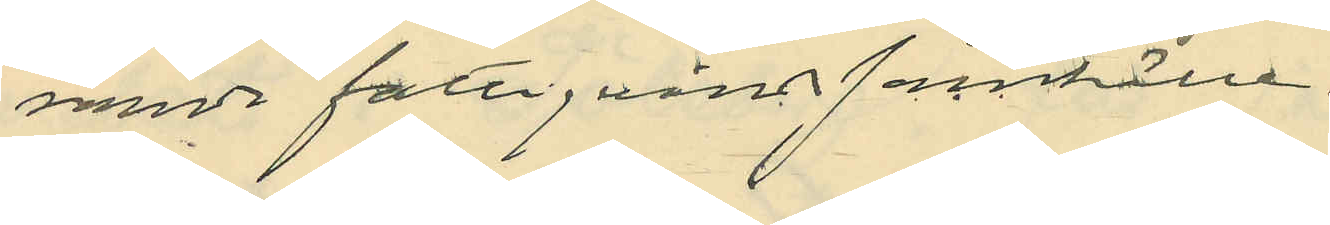varande fattigvårdssamhälle.
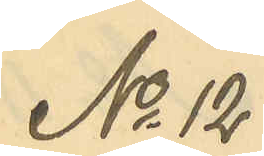No 12
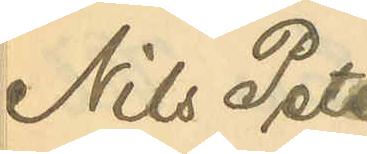Nils Peter
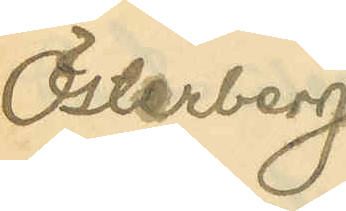Österberg
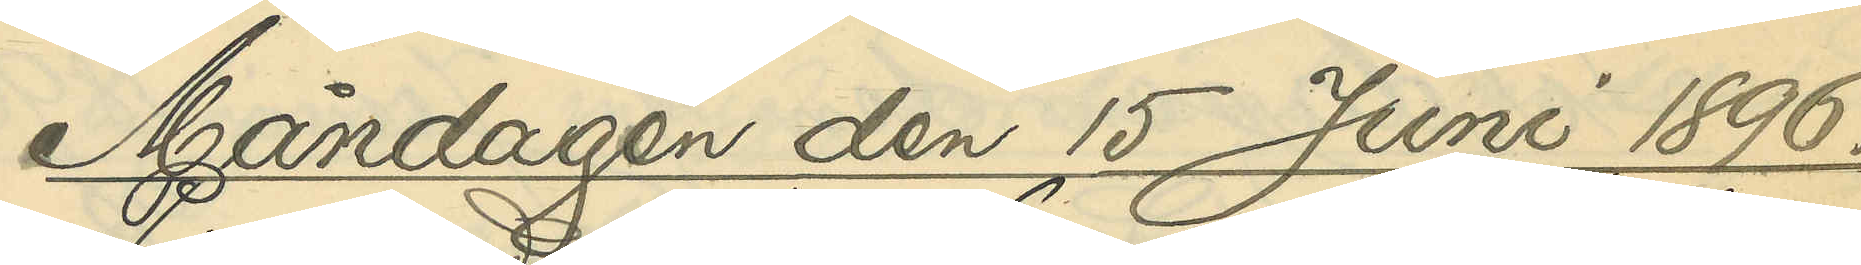Måndagen den 15 Juni 1896.
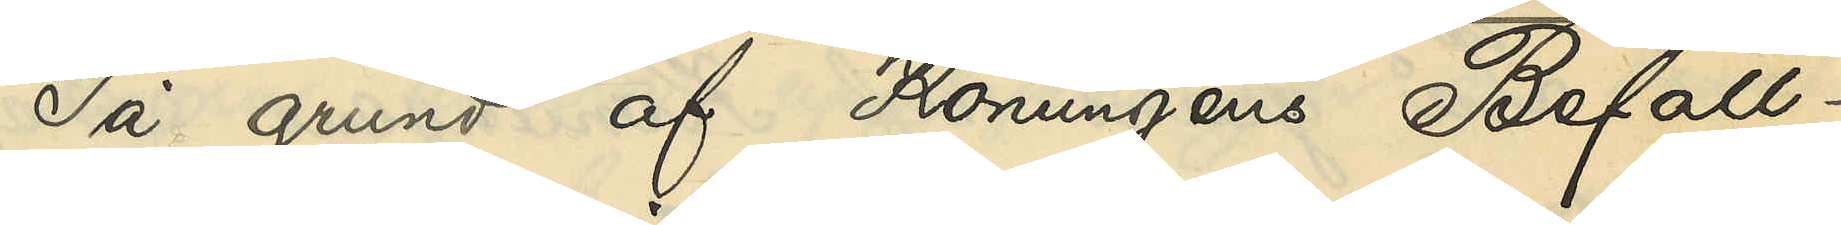På grund af Konungens Befall¬
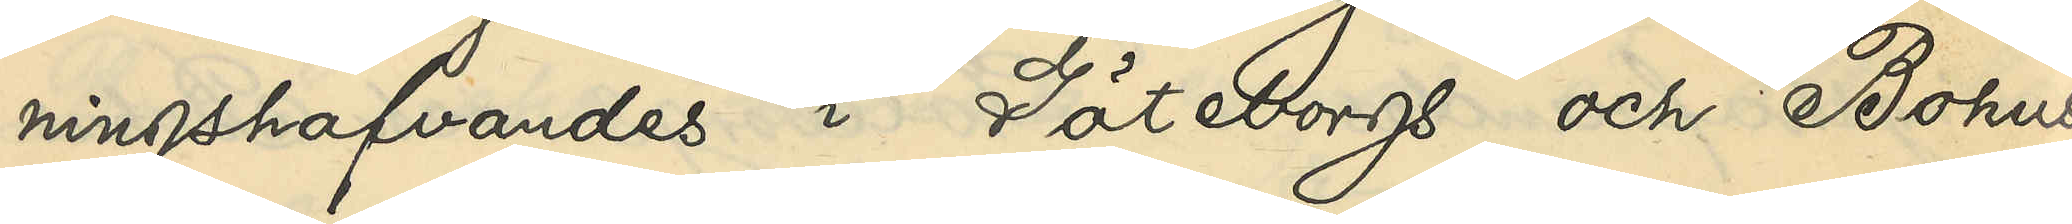ningshafvandes i Göteborgs och Bohus
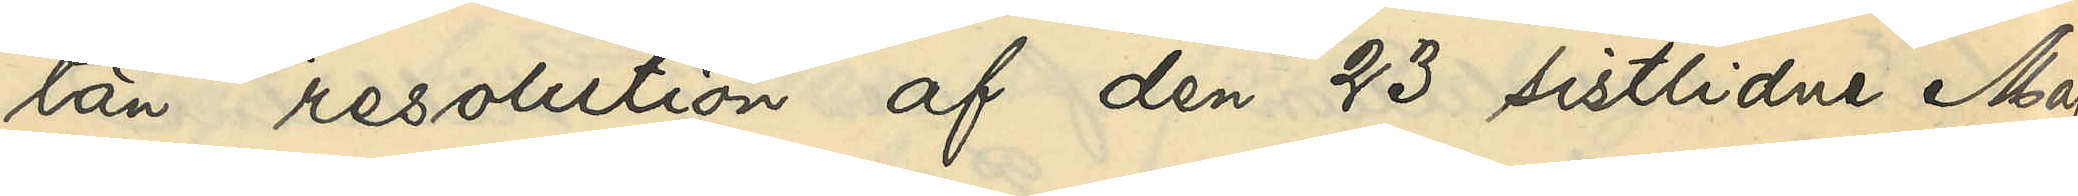län resolution af den 23 sistlidne Maj
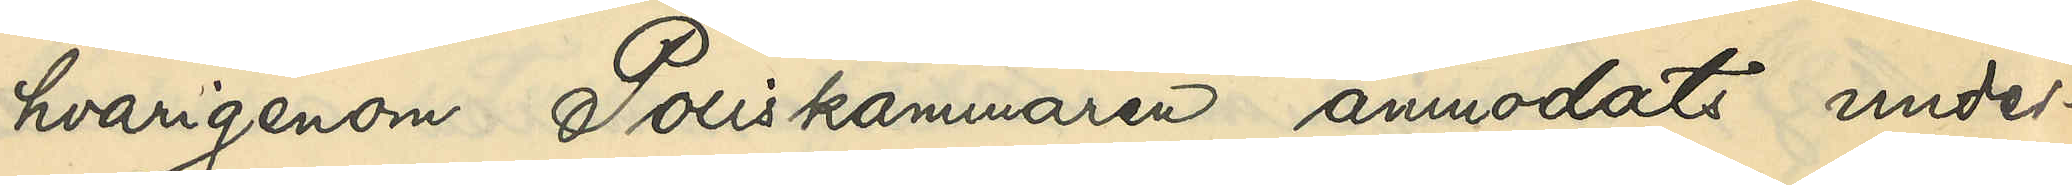hvarigenom Poliskammaren anmodats under¬
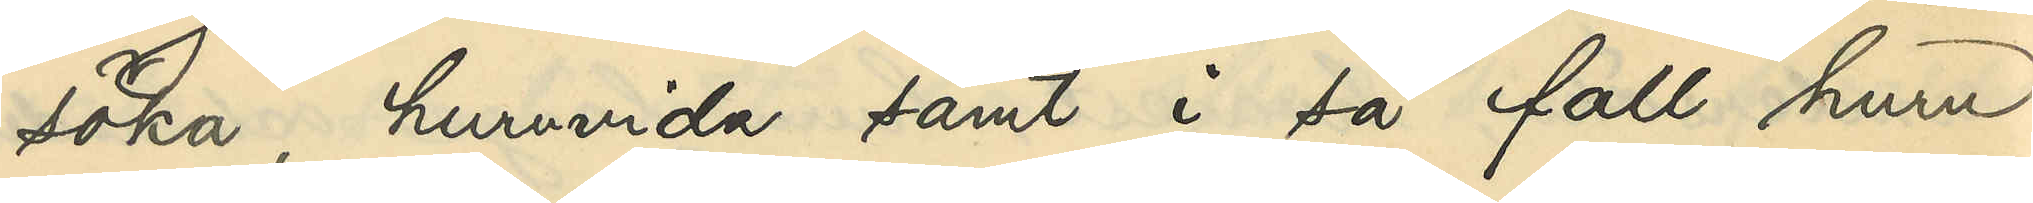söka, huruvida samt i så fall huru
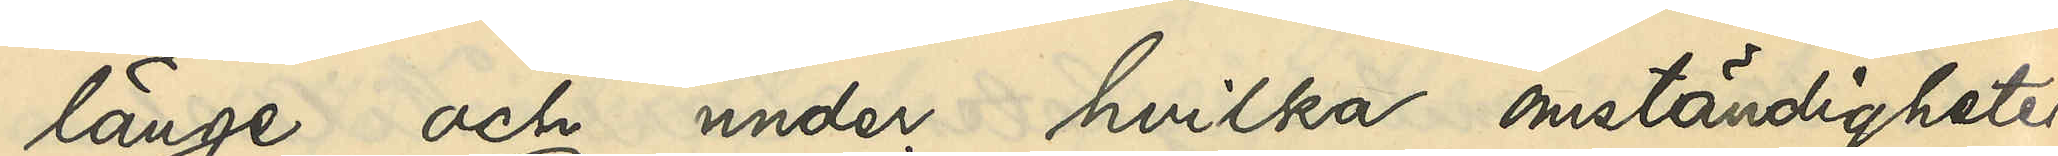länge och under hvilka omständigheter
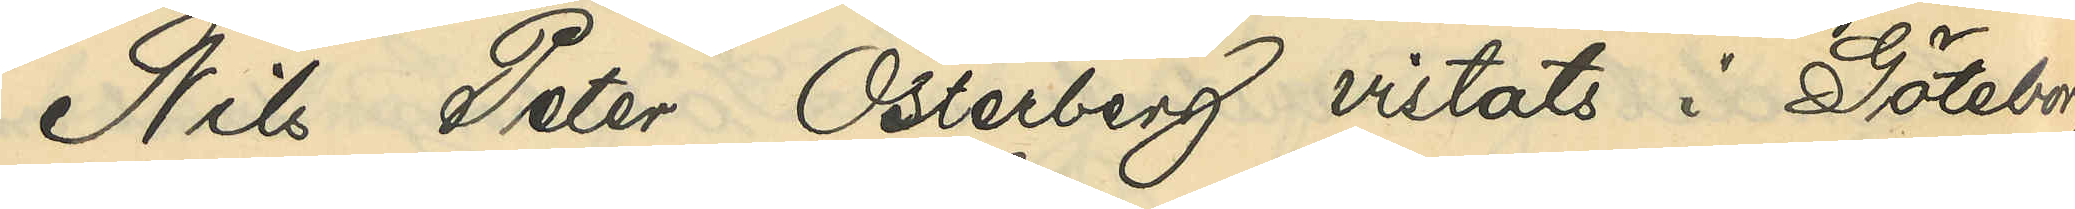Nils Peter Österberg vistats i Göteborg
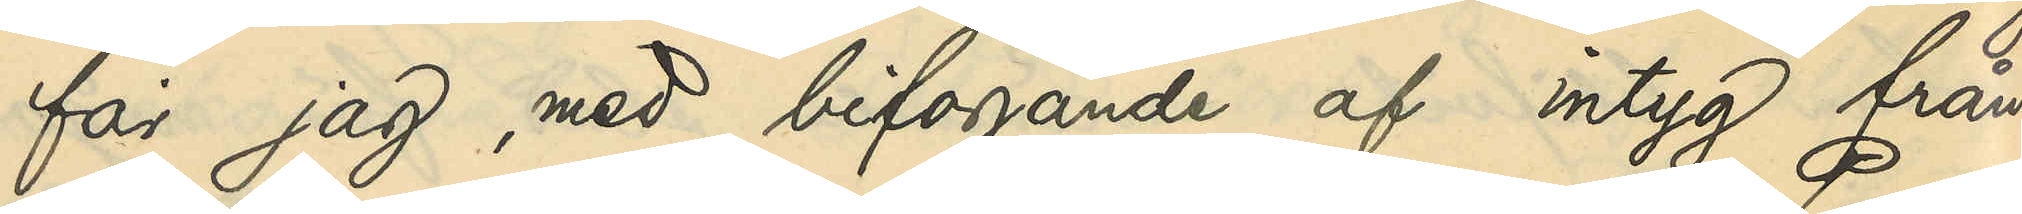får jag, med bifogande af intyg från
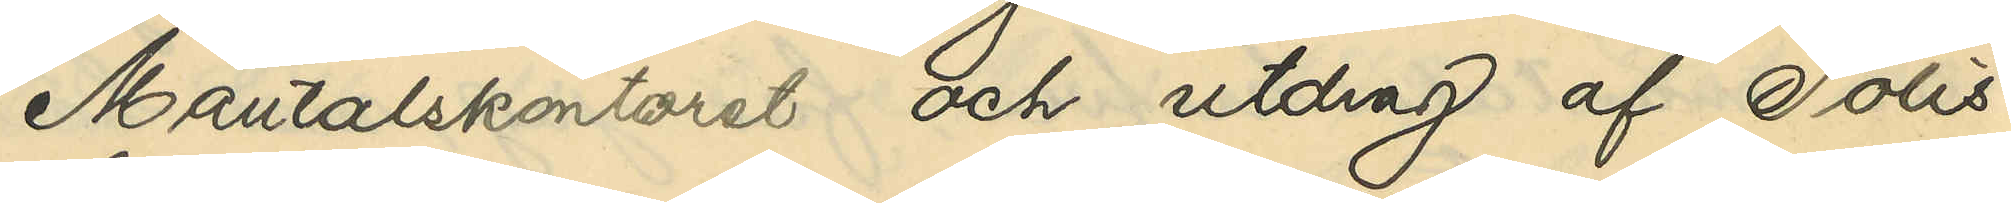Mantalskontoret och utdrag af Polis¬
